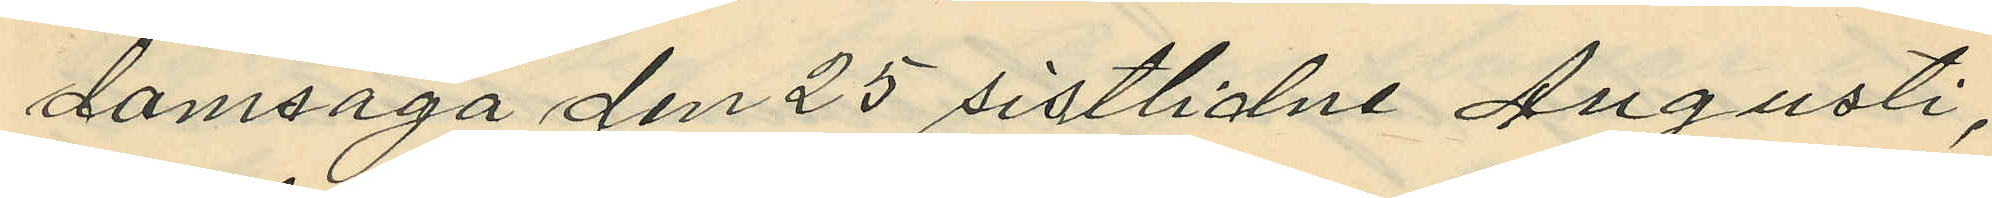domsaga den 25 sistlidne Augusti,
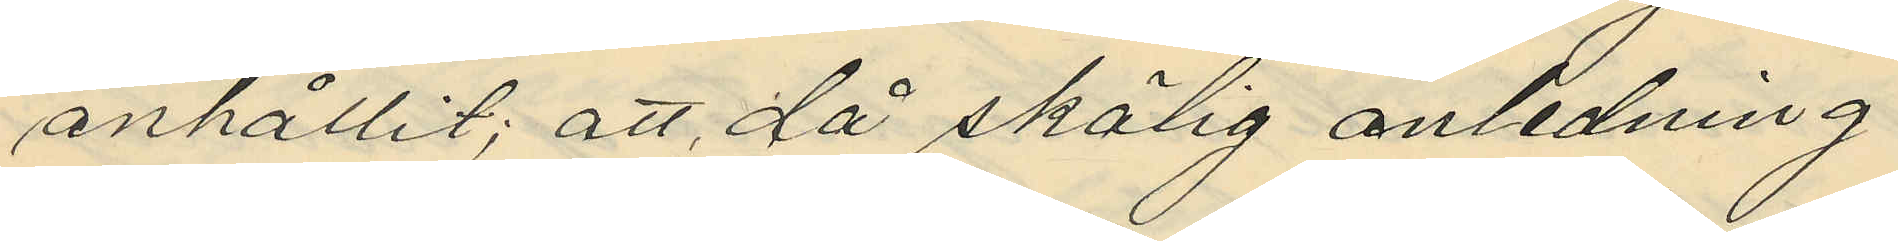anhållit; att då skälig anledning
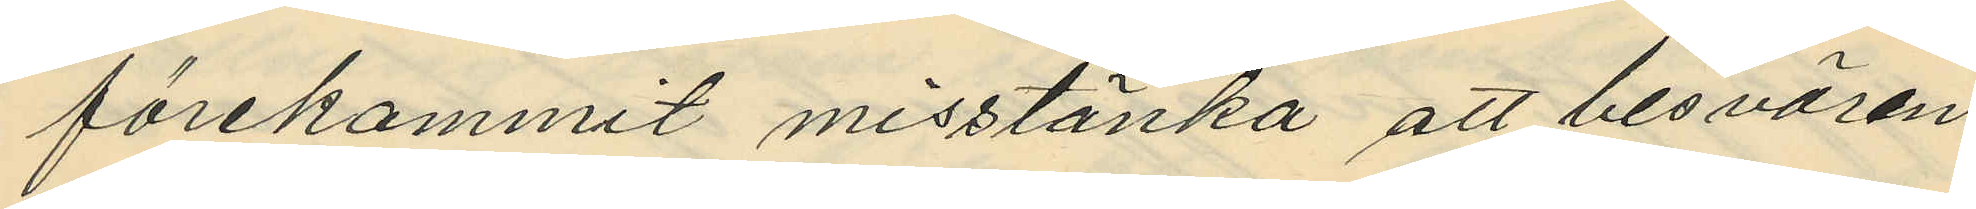förekommit misstänka att besvären
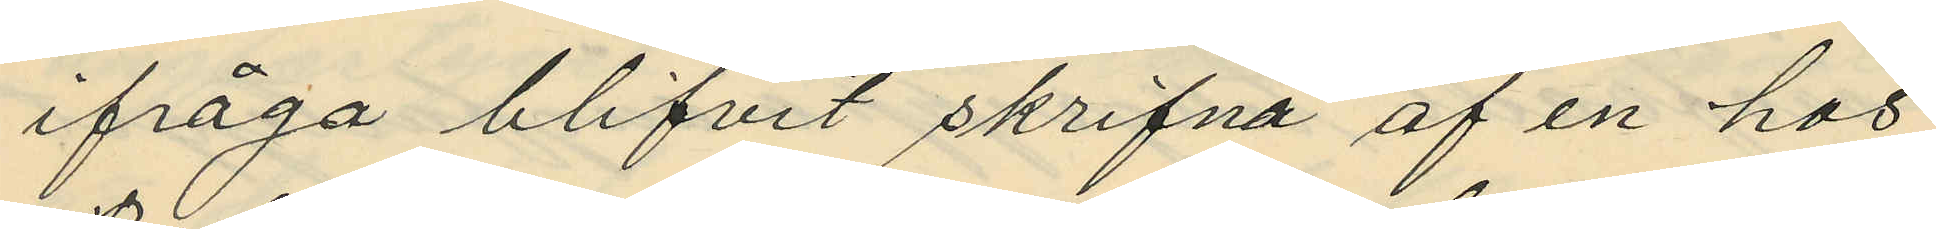ifråga blifvit skrifna af en hos
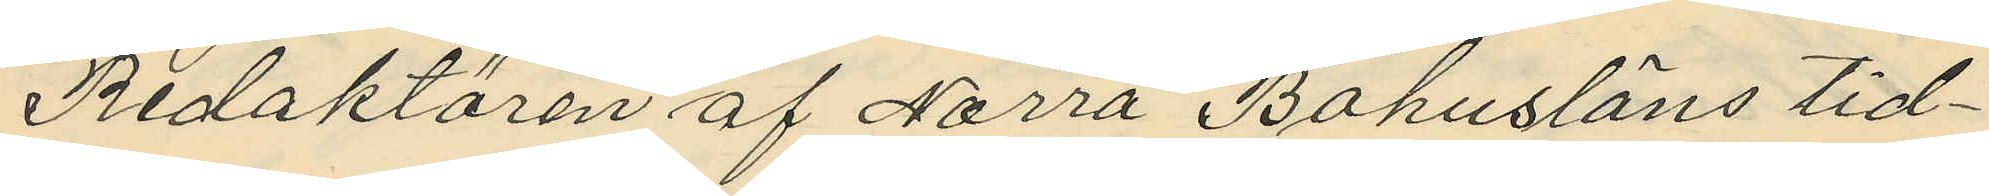Redaktören af Norra Bohusläns tid¬
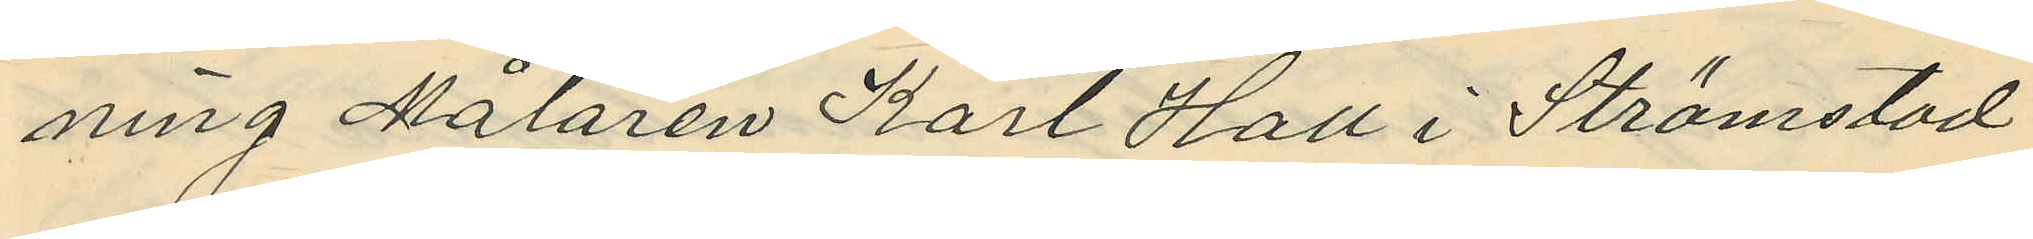ning Målaren Karl Hall i Strömstad
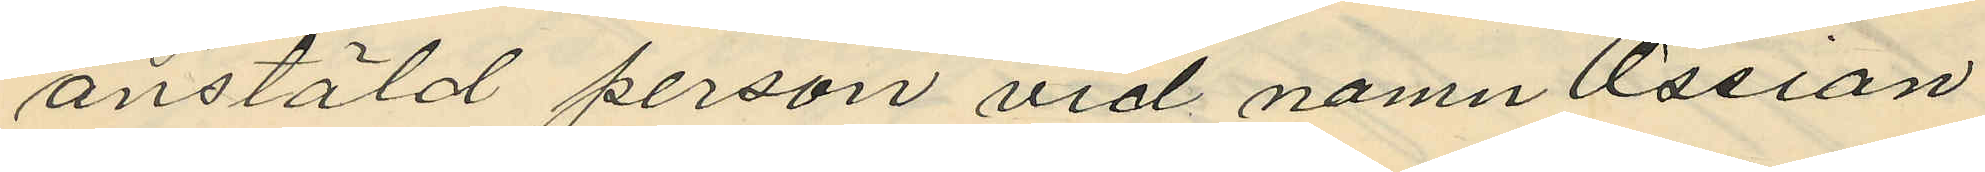anstäld person vid namn Ossian
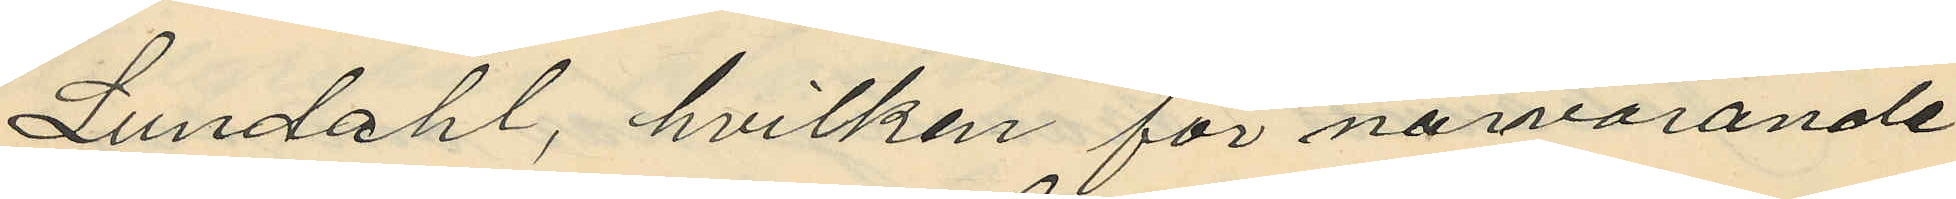Lundahl, hvilken för närvarande
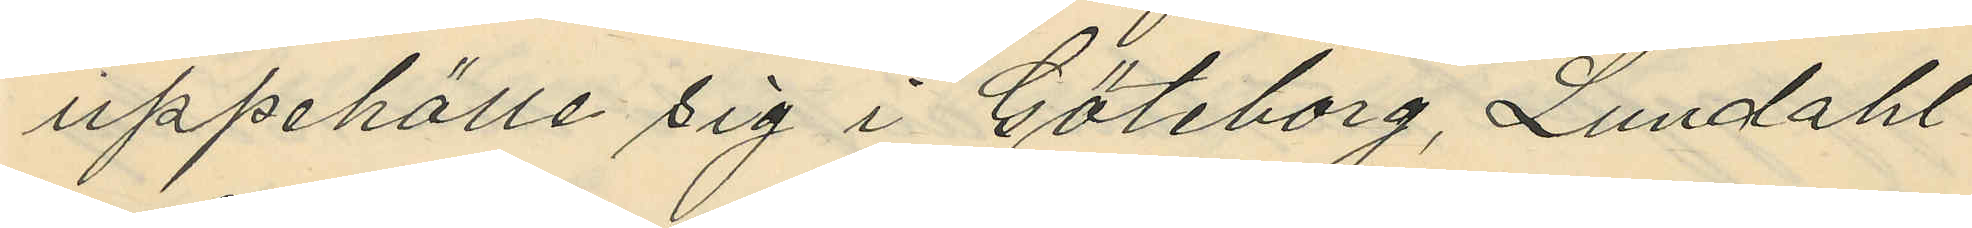uppehölle sig i Göteborg, Lundahl
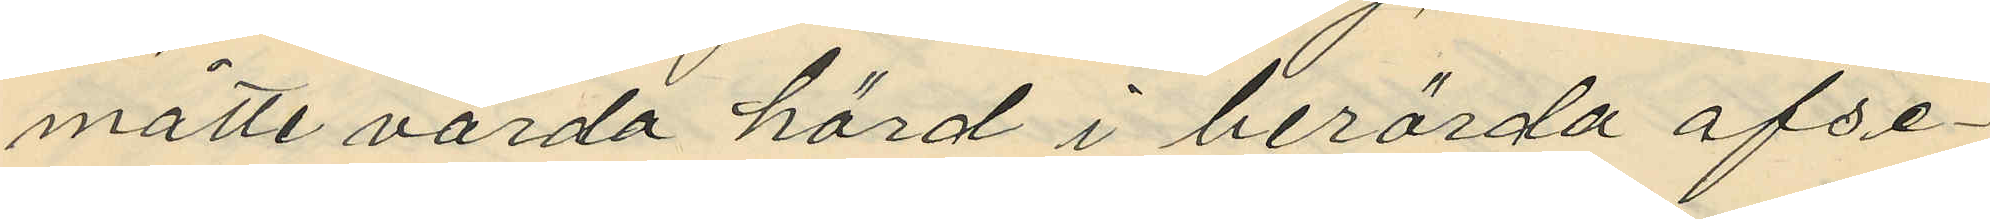måtte värda hörd i berörda afse¬
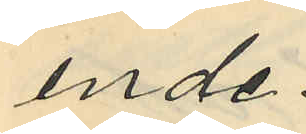ende.
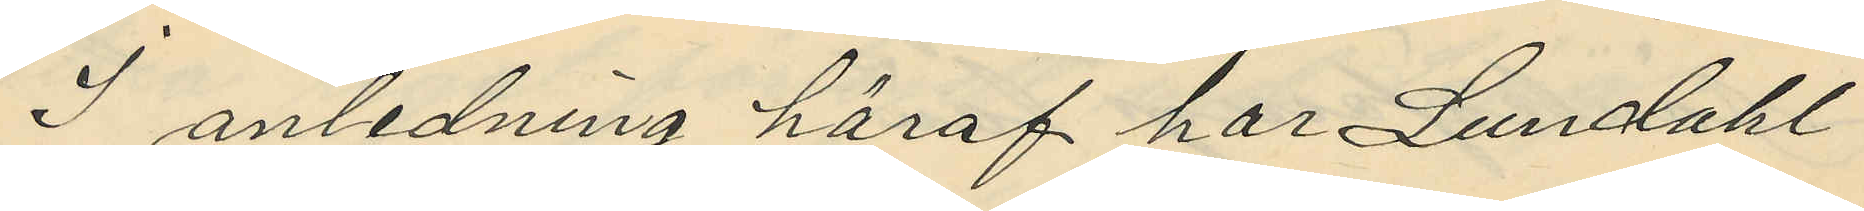I anledning häraf har Lundahl
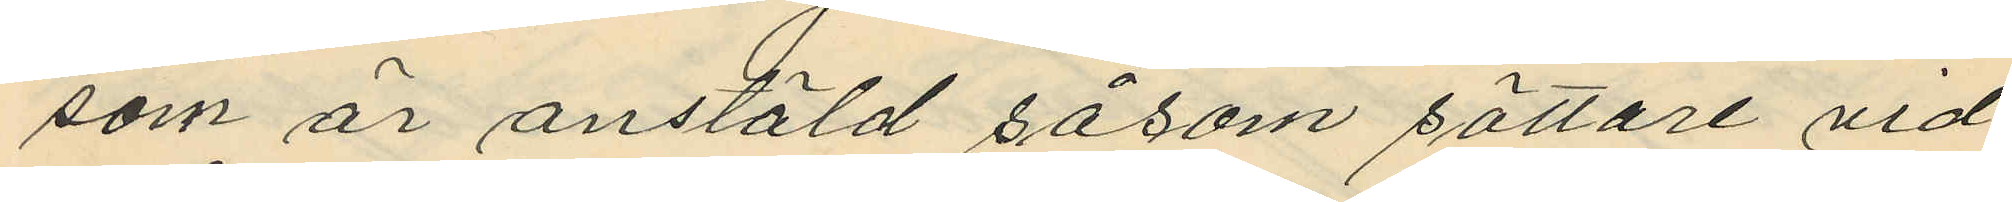som är anstäld såsom sättare vid
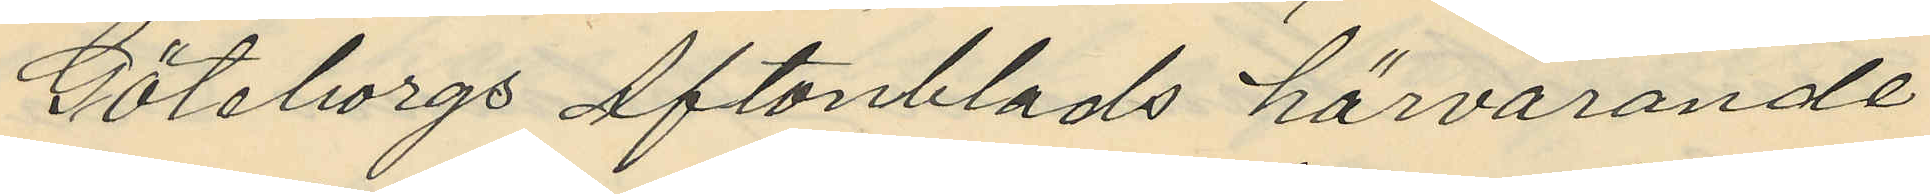Göteborgs Aftonblads härvarande
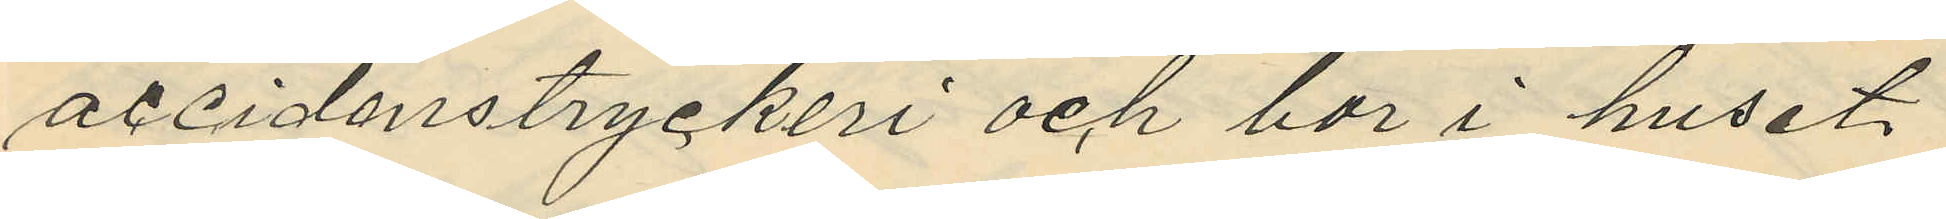accidenstryckeri och bor i huset
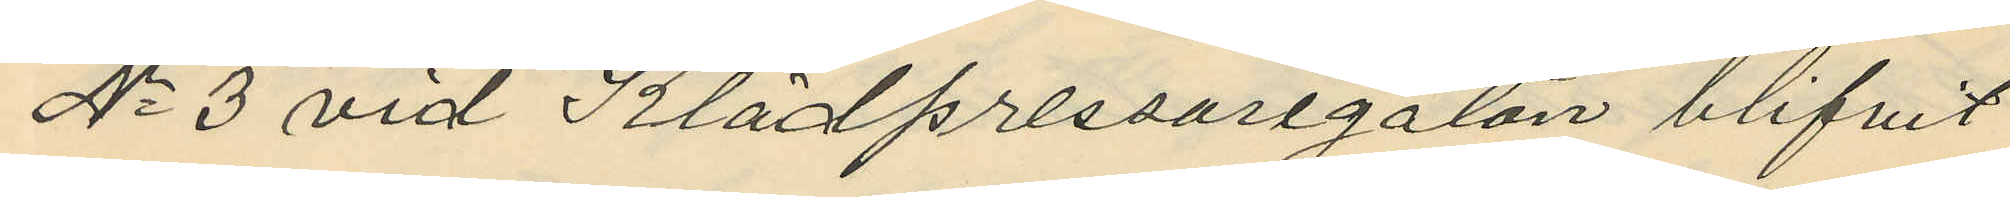No 3 vid Klädpressaregatan blifvit
